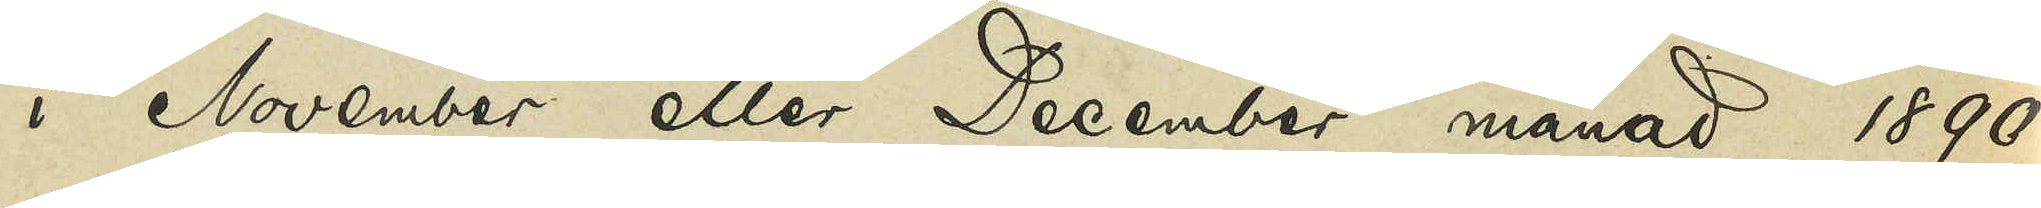i November eller December månad 1890
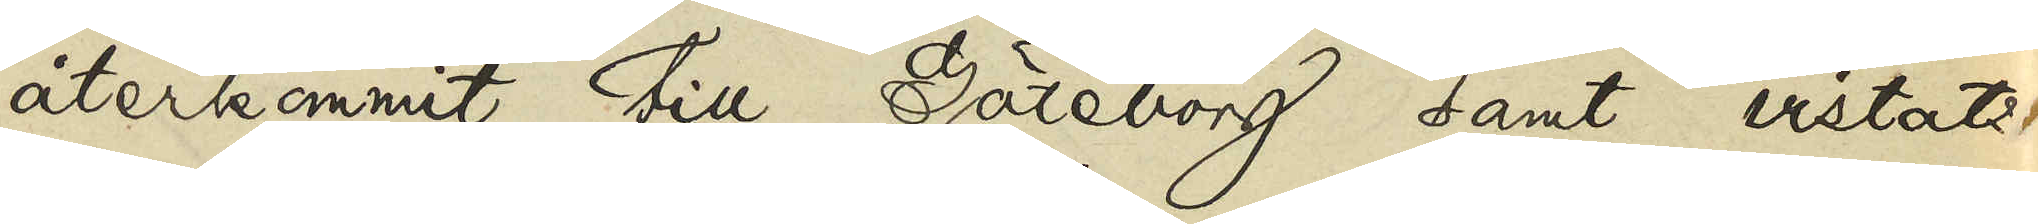återkommit till Göteborg samt vistats
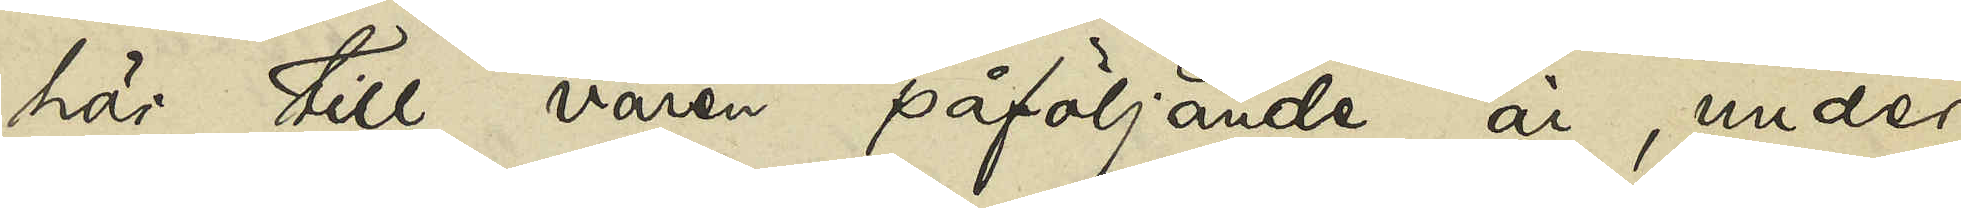här till våren påföljande år, under
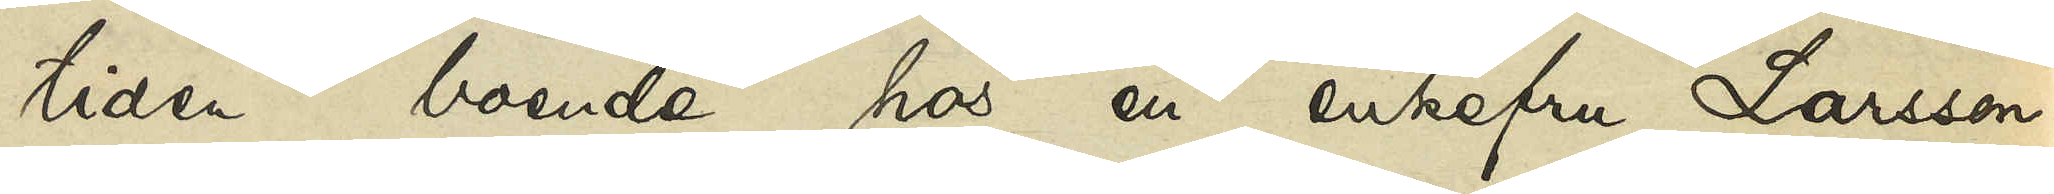tiden boende hos en enkefru Larsson
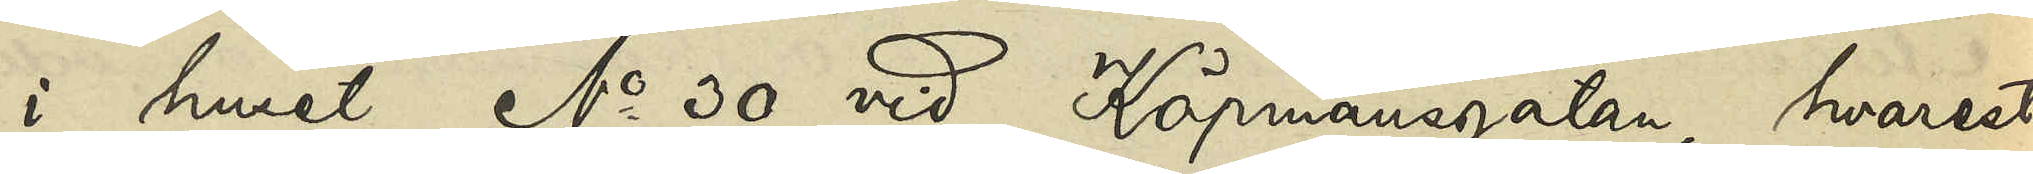i huset No 30 vid Köpmansgatan, hvarest
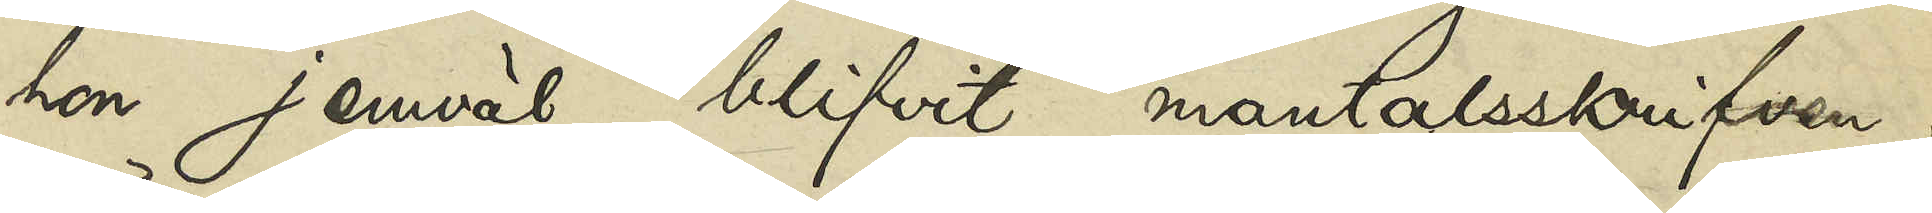hon jemväl blifvit mantalsskrifven;
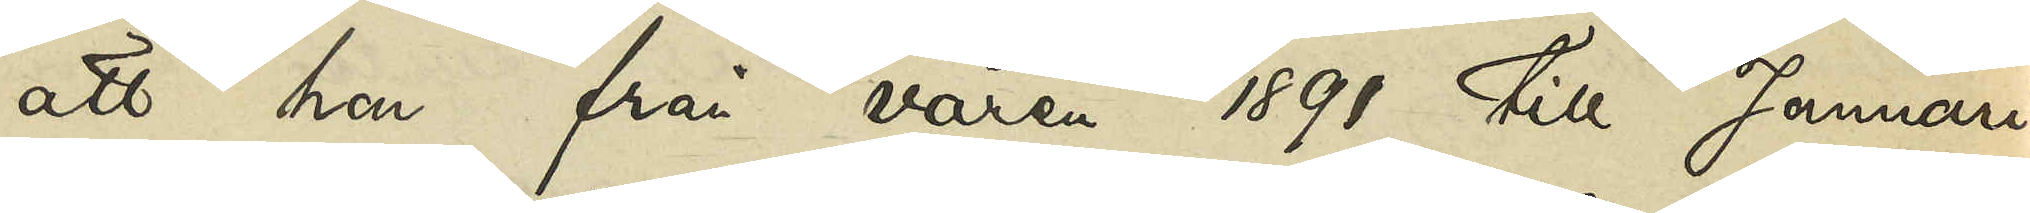att hon från våren 1891 till Januari
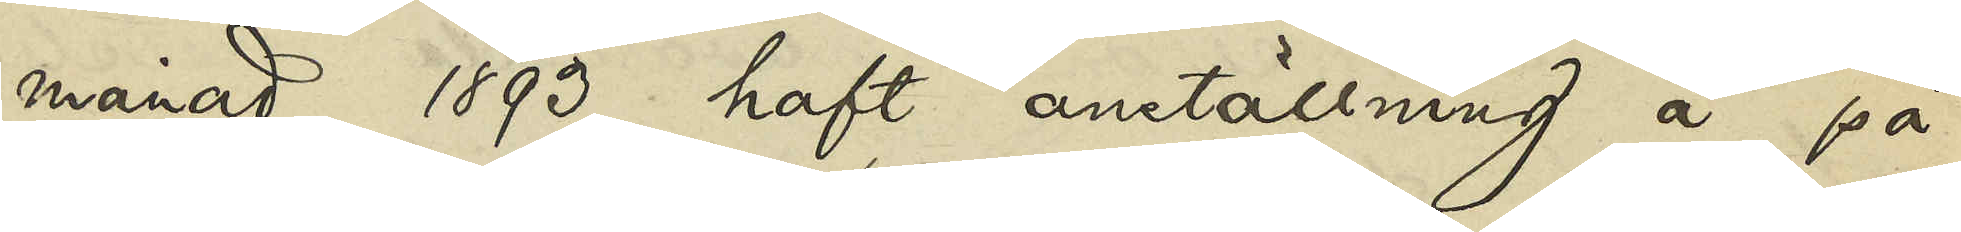månad 1893 haft anställning å på
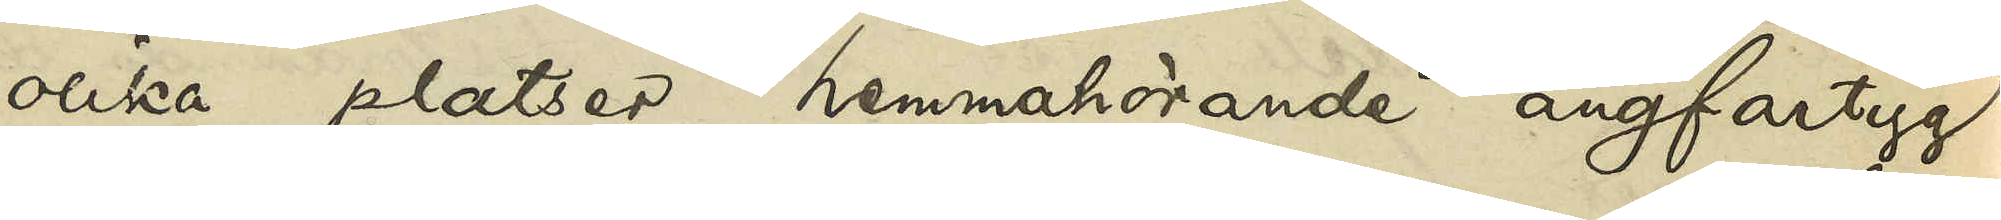olika platser hemmahörande ångfartyg,
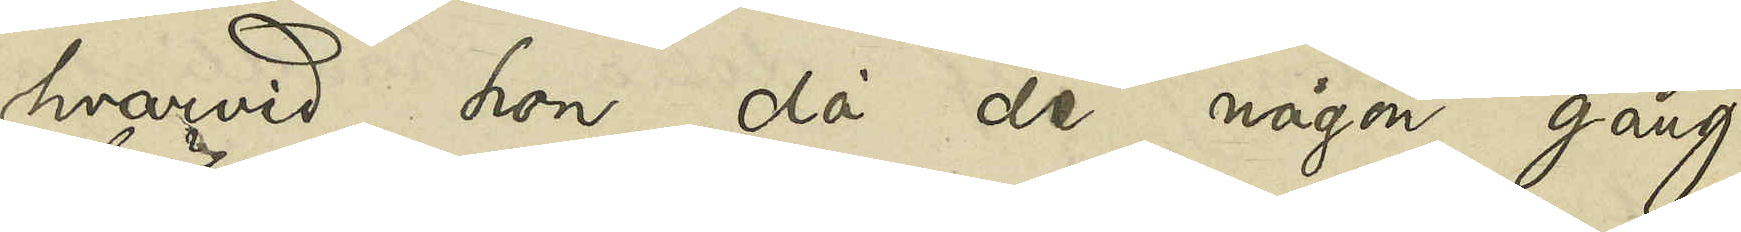hvarvid hon, då de någon gång
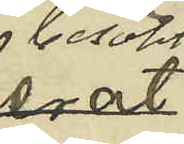besökt
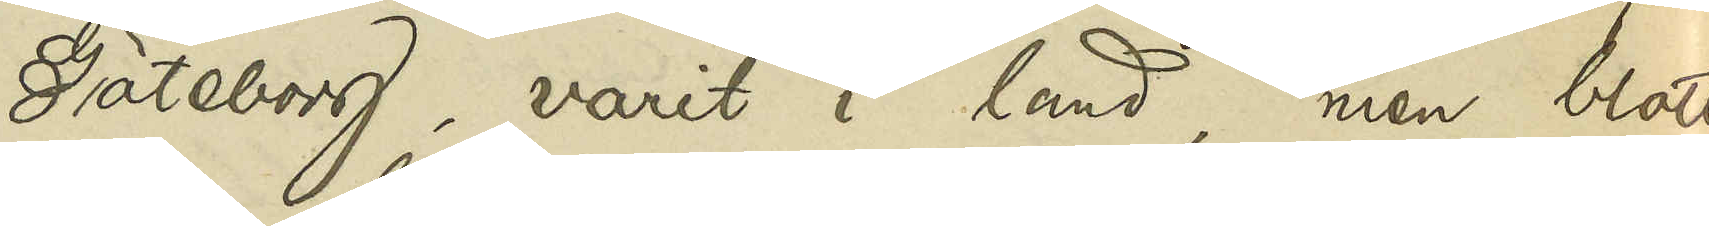Göteborg, varit i land, men blott
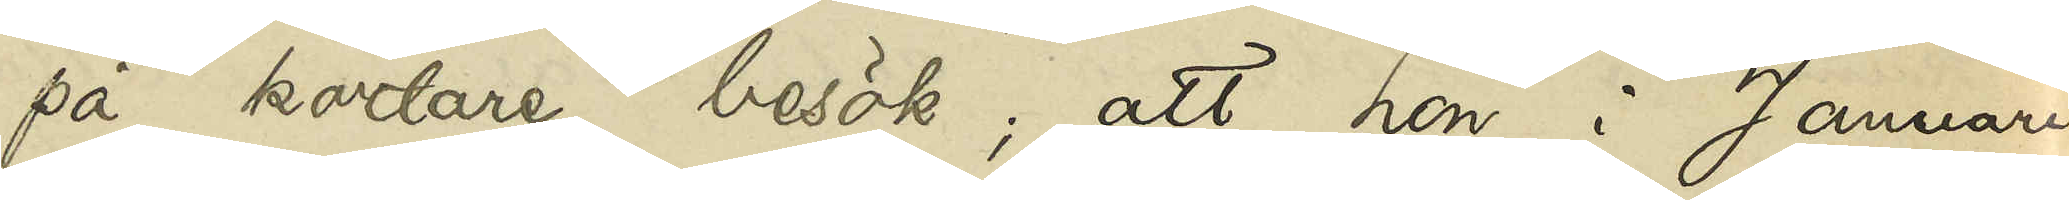på kortare besök; att hon i Januari
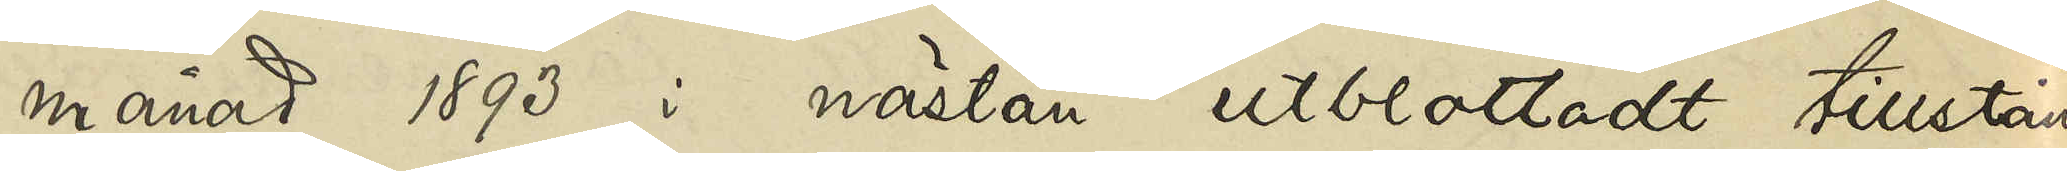månad 1893 i nästan utblottadt tillstånd
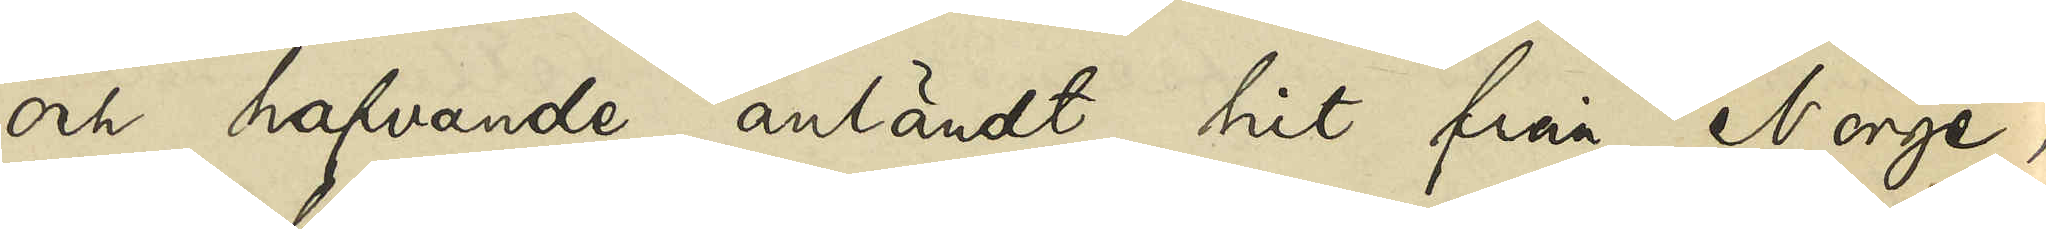och hafvande anländt hit från Norge,
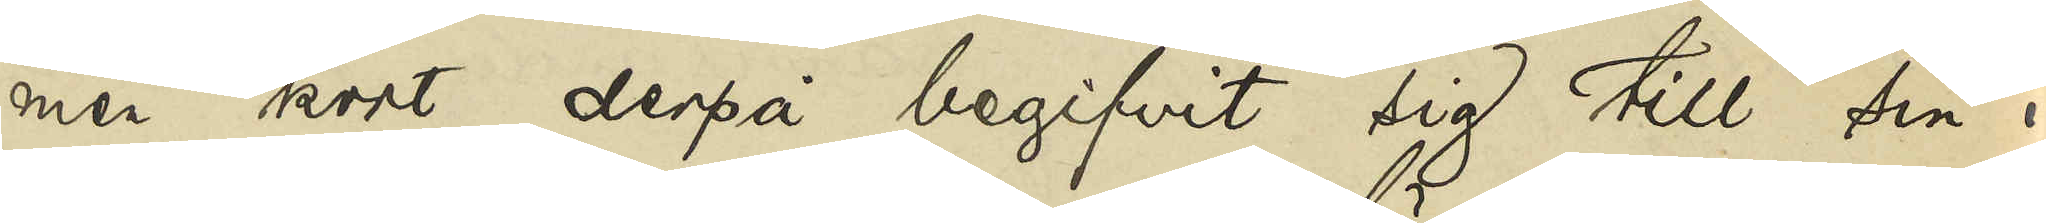men kort derpå begifvit sig till sin i
